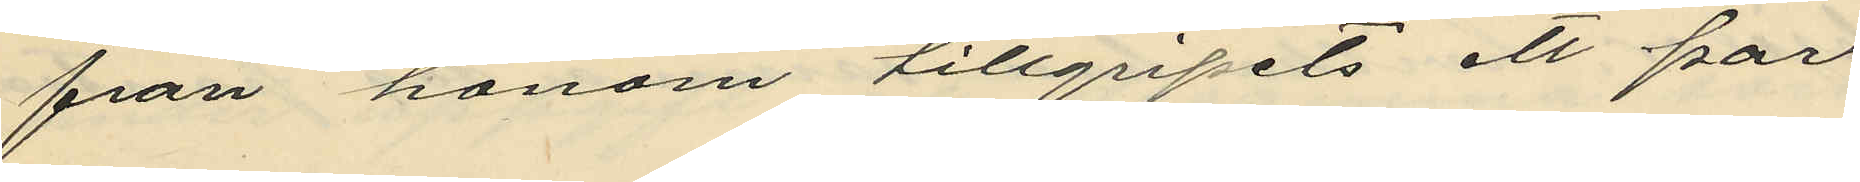från honom tillgripits ett par
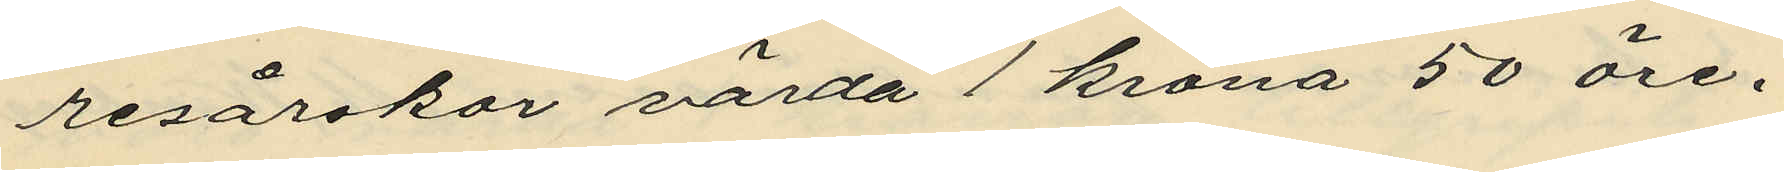resårskor värda 1 krona 50 öre.
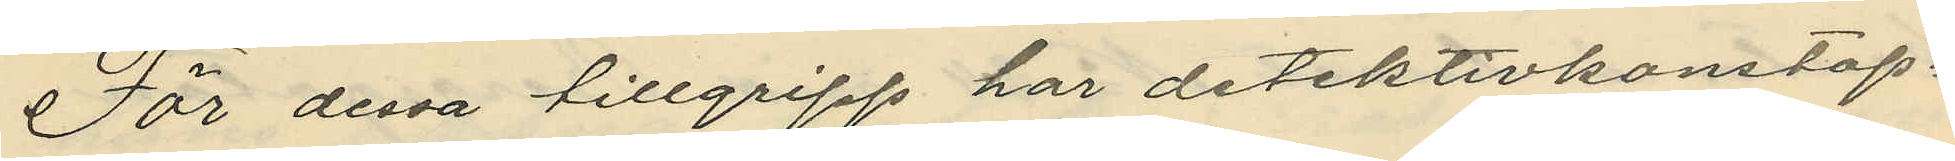För dessa tillgripp har detektivkonstap¬
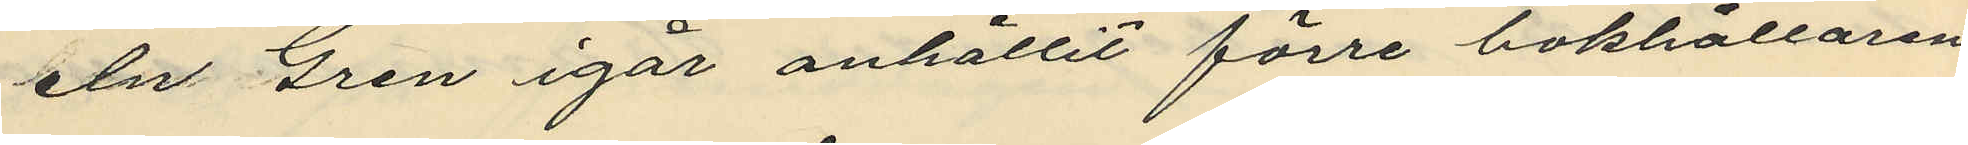eln Gren igår anhållit förre bokhållaren
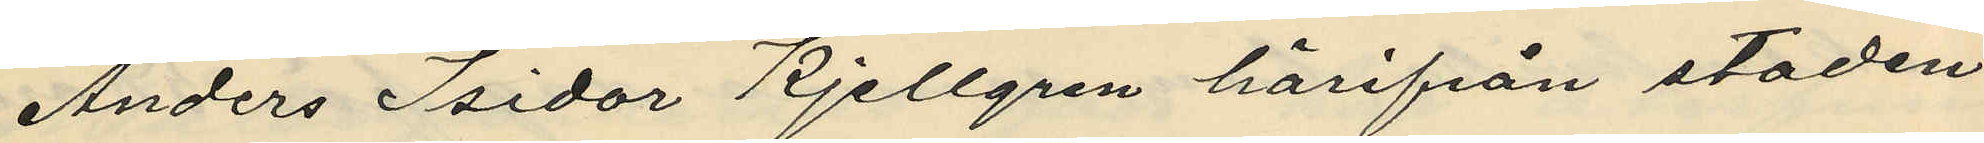Anders Isidor Kjellgren härifrån staden
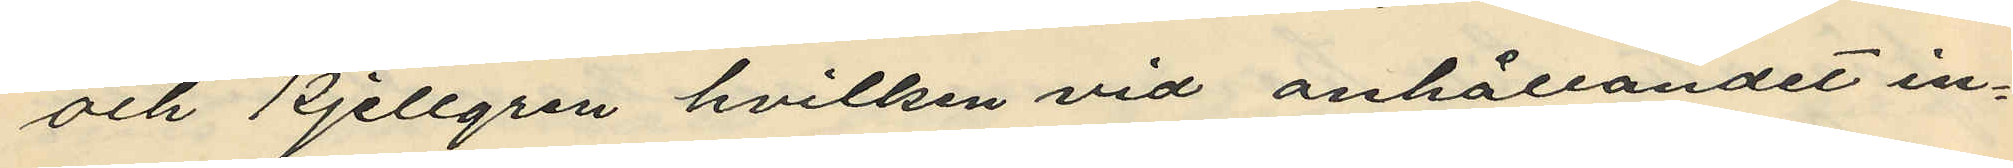och Kjellgren hvilken vid anhållandet in¬
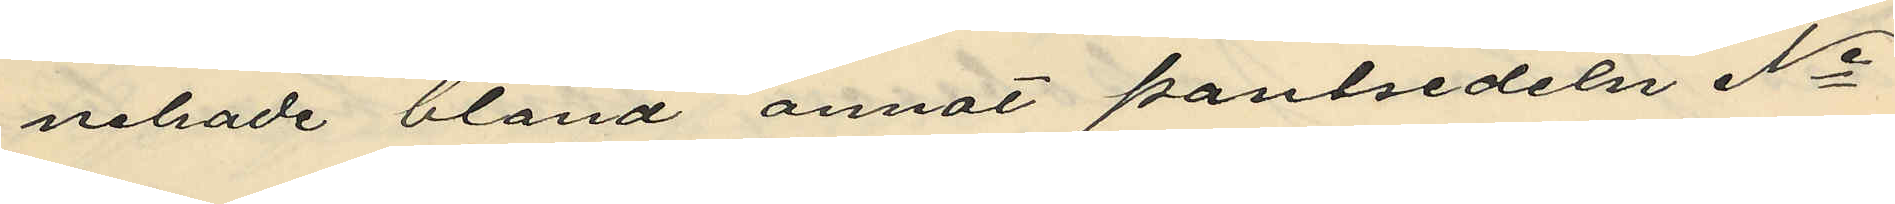nehade bland annat pantsedeln No
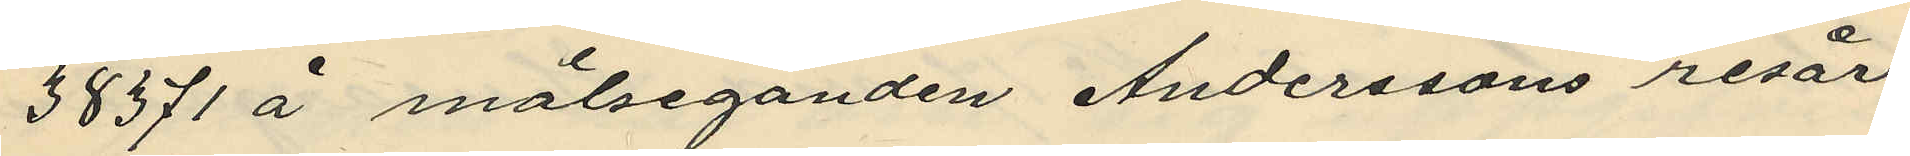38371 å målseganden Anderssons resår¬
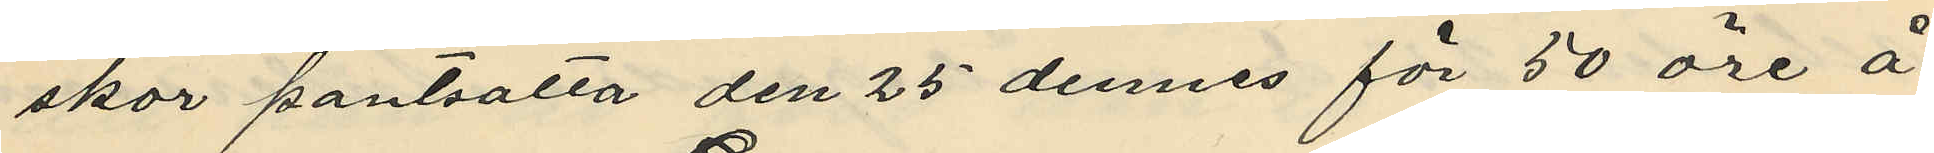skor pantsätta den 25 dennes för 50 öre å
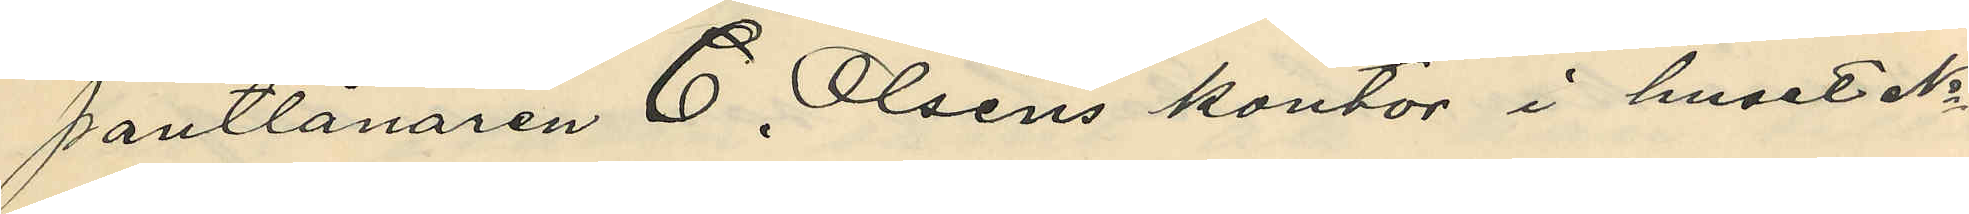pantlånaren C. Olséns kontor i huset No
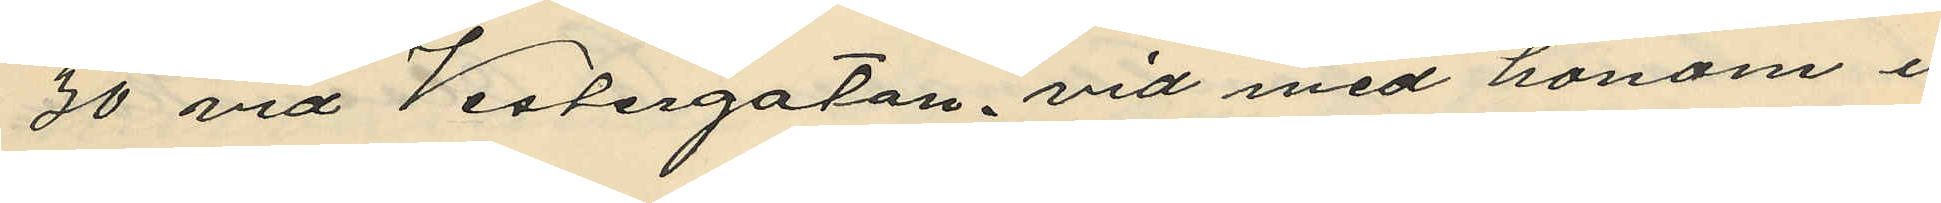70 vid Westergatan, vid med honom i
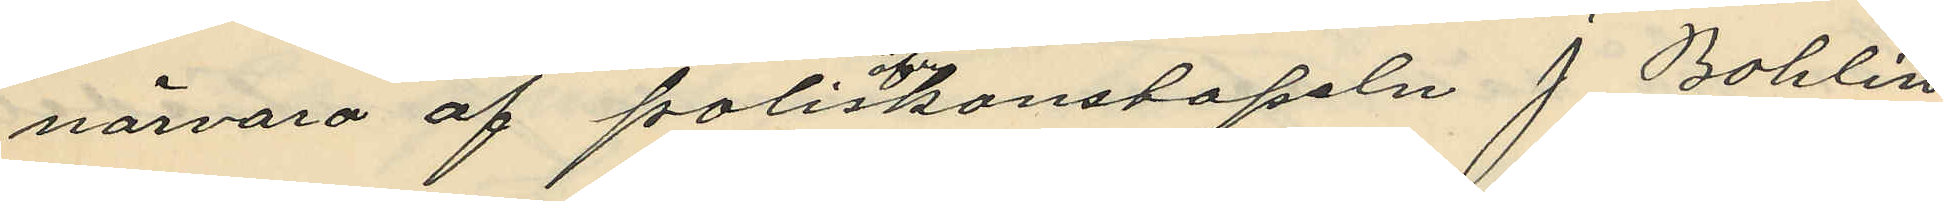närvaro af poliskonstapeln J. Bohlin
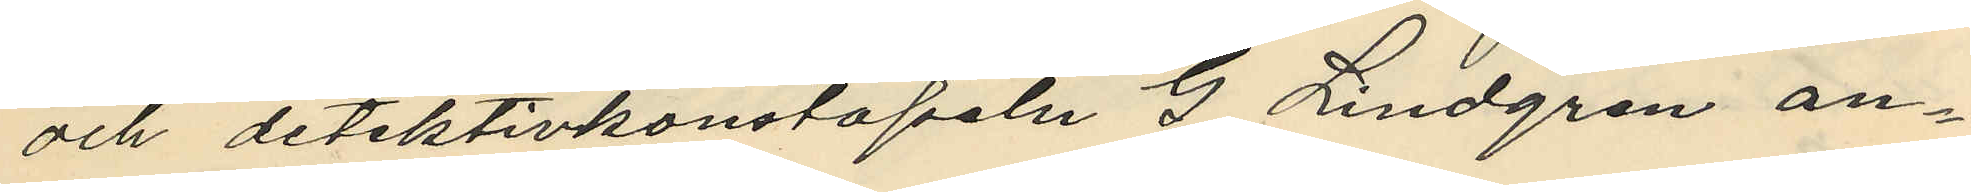och detektivkonstapeln G. Lindgren an¬
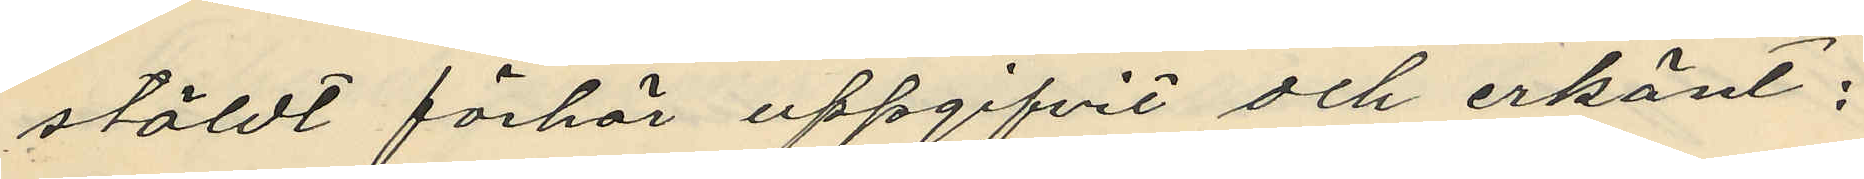stäldt förhör uppgifvit och erkänt;
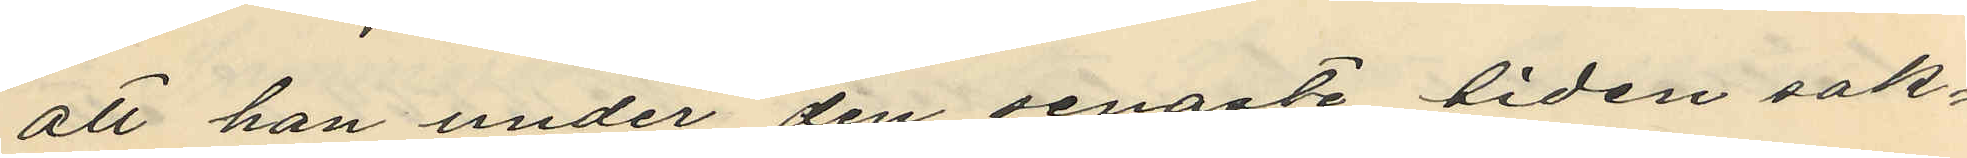att han under den senaste tiden sak¬
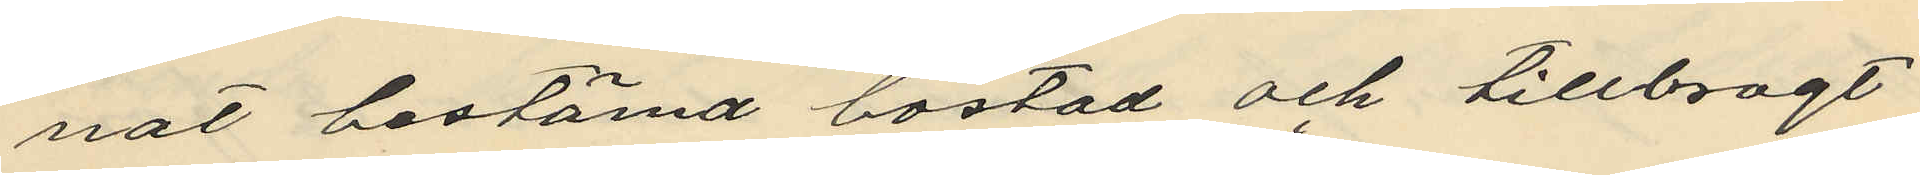nat bestämd bostad och tillbragt
